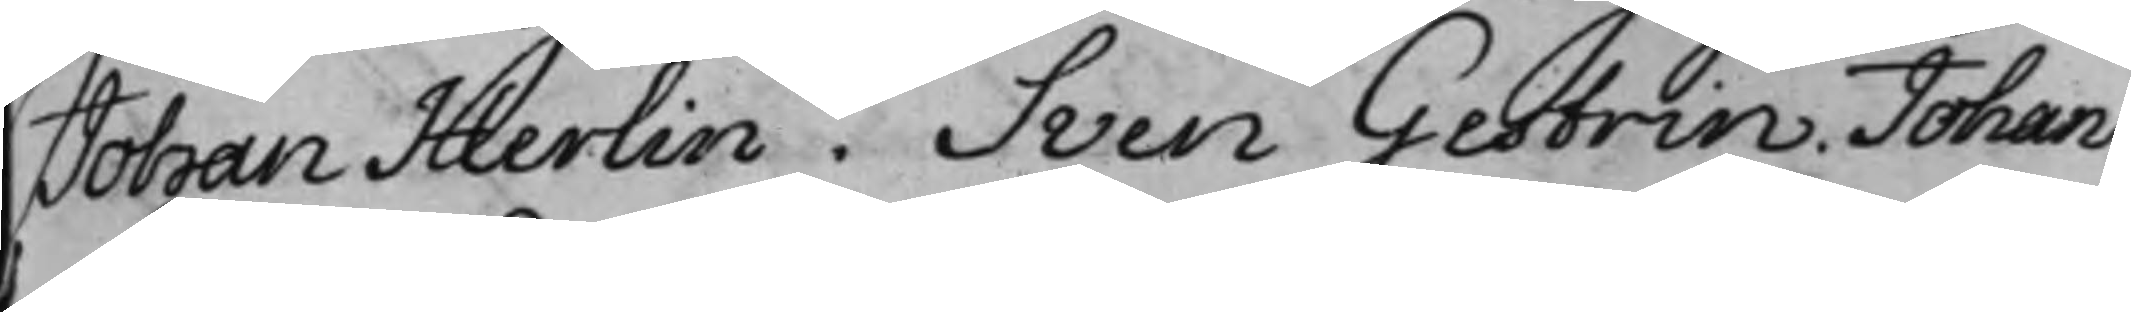Johan Herlin. Sven Gestrin. Johan
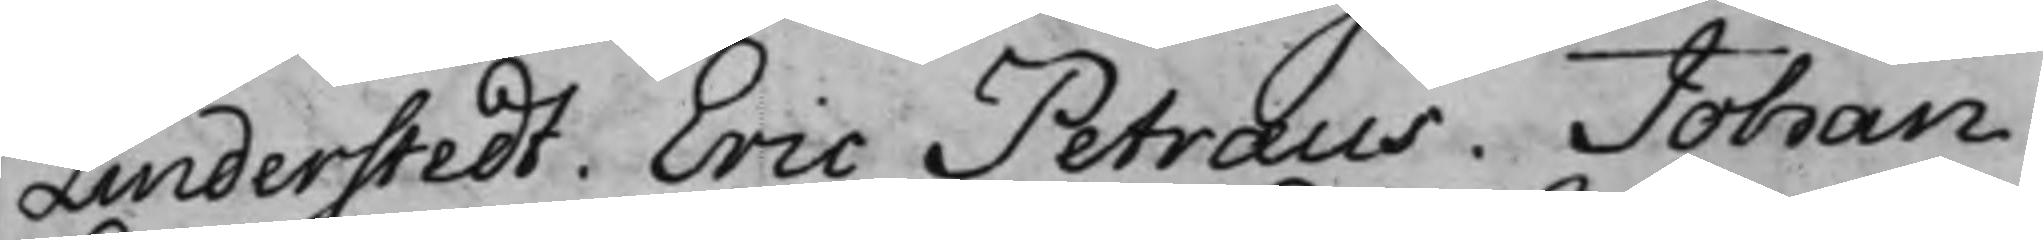Linderstedt. Eric Petræus. Johan
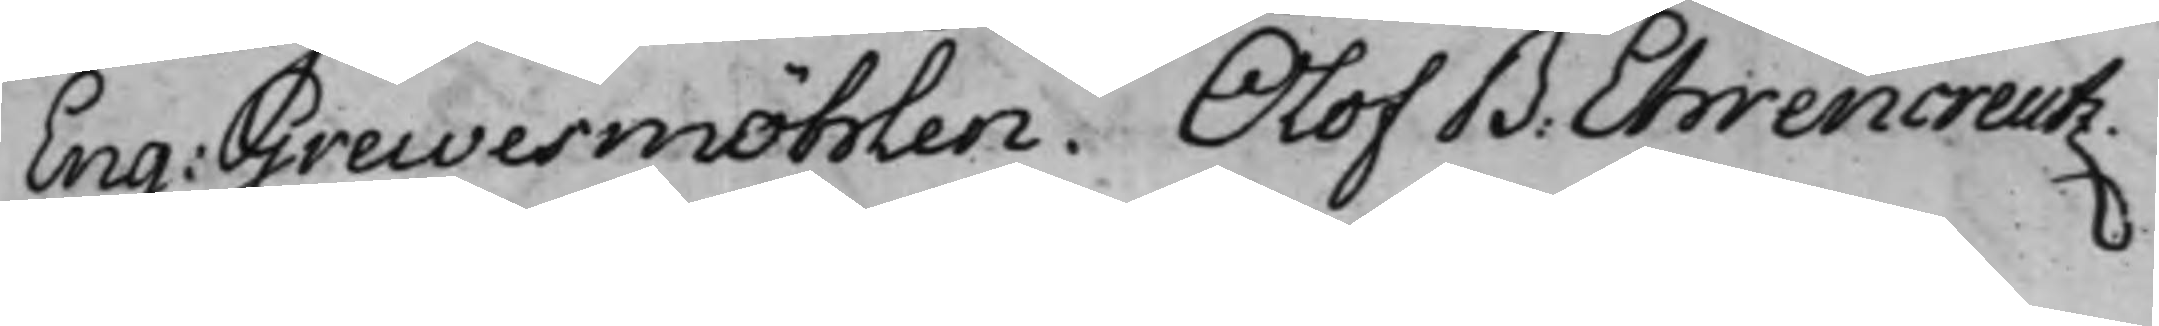Eng: Grewesmöhlen. Olof B. Ehrencreutz.
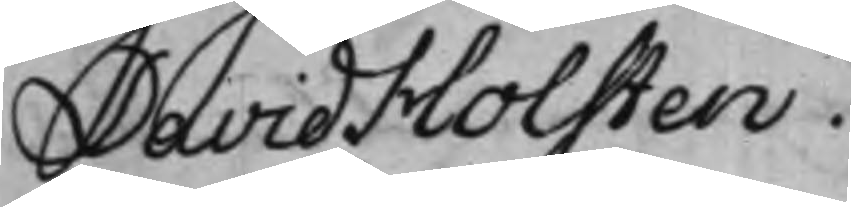David Holsten.
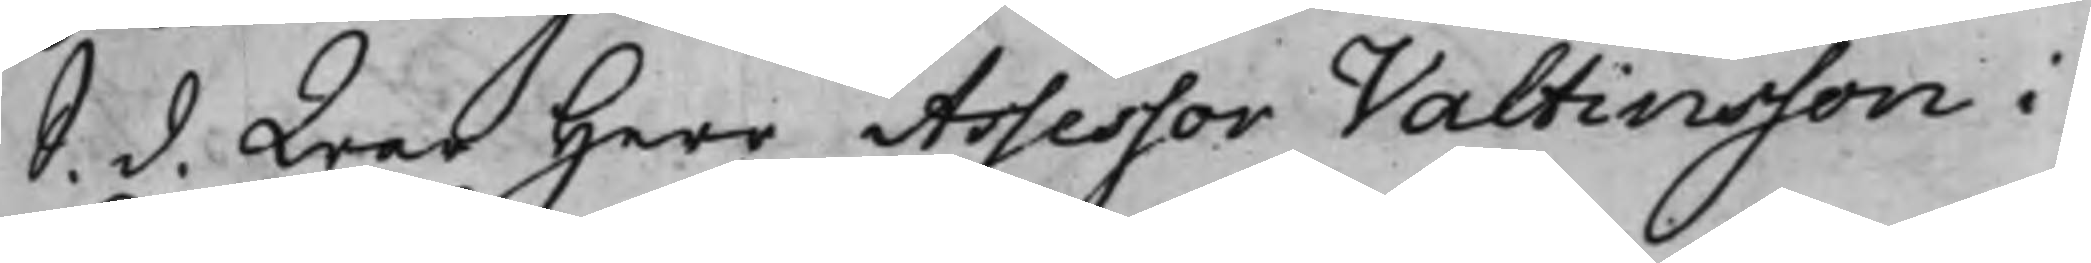S. d. War Herr Assessor Valtinsson i
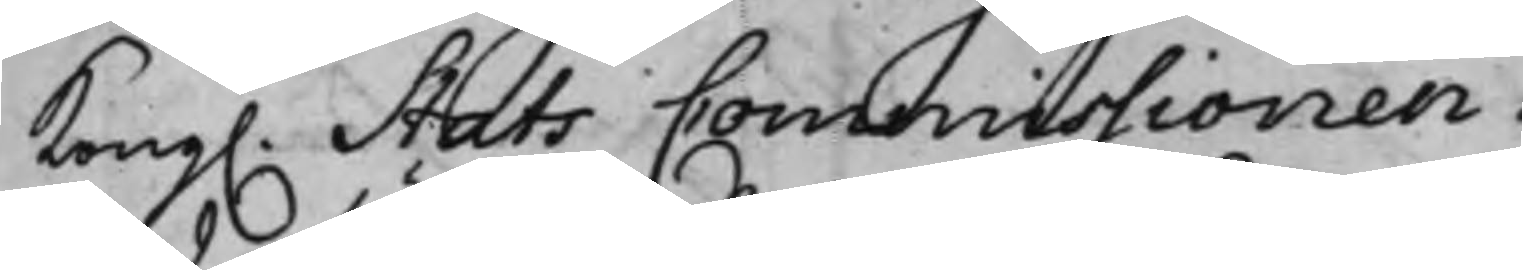Kong. Stats Commissionen. 
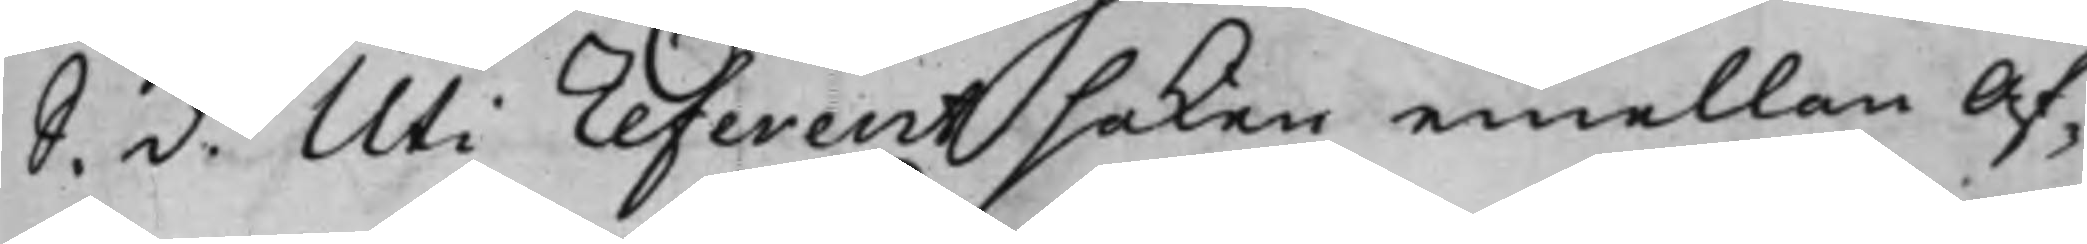S. d. Uti referent saken emellan Af¬
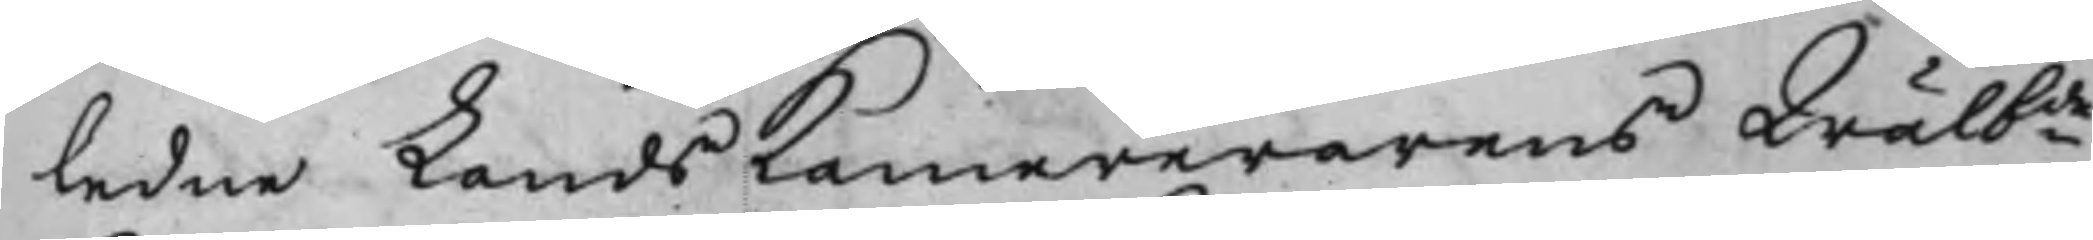ledne LandsKamererarens Wälbde
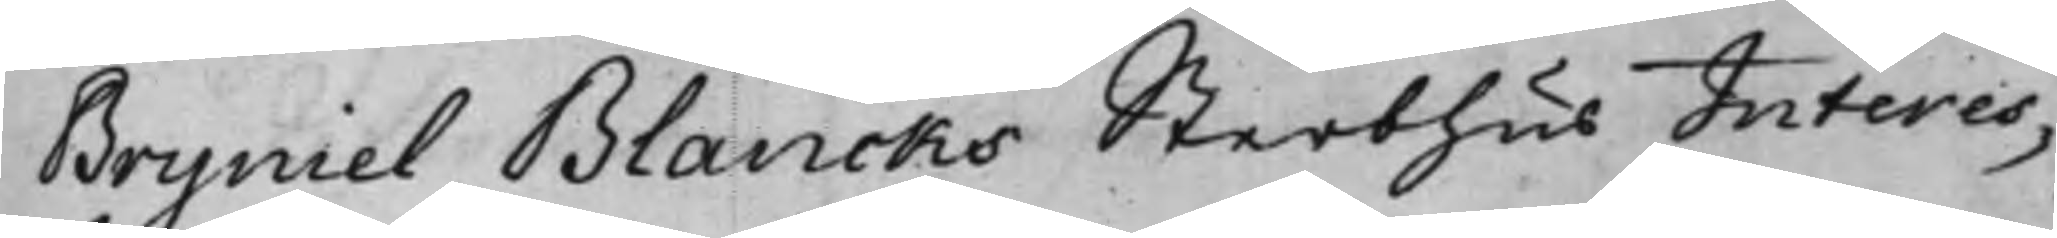Bryniel Blancks Sterbhus Interes¬
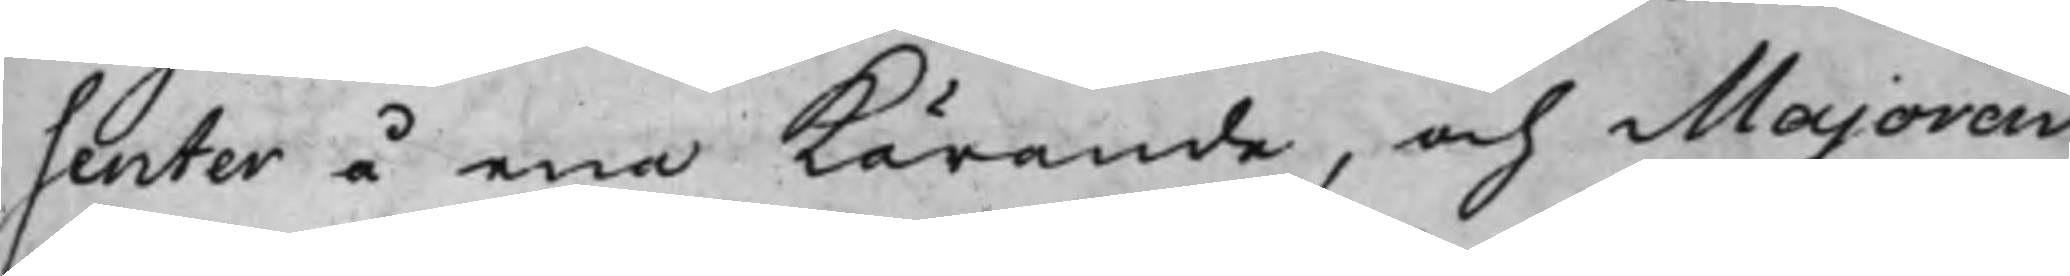senter å ena kärande, och Majoren
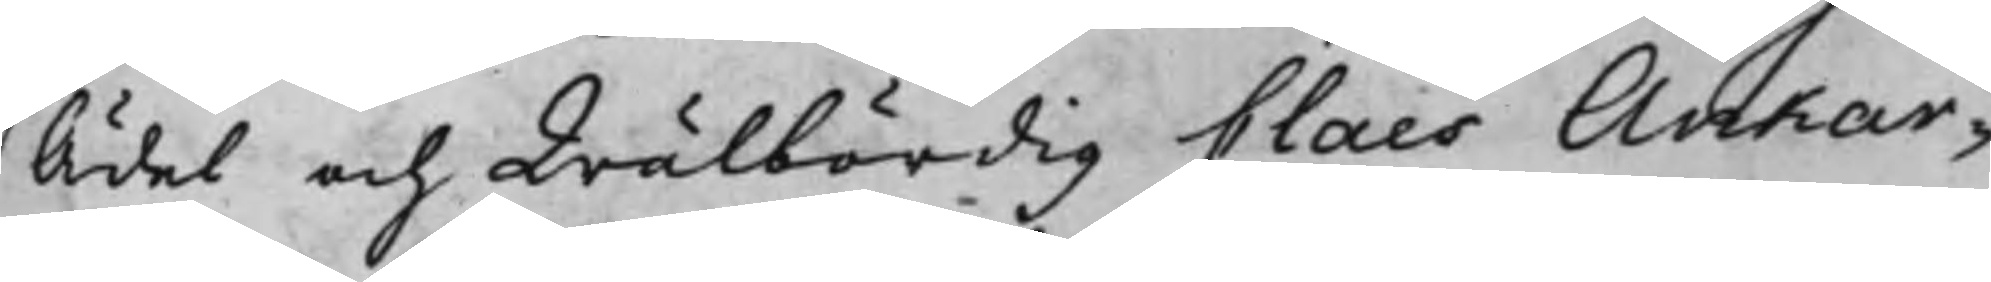Ädel och Wälbördig Claes Ankar¬
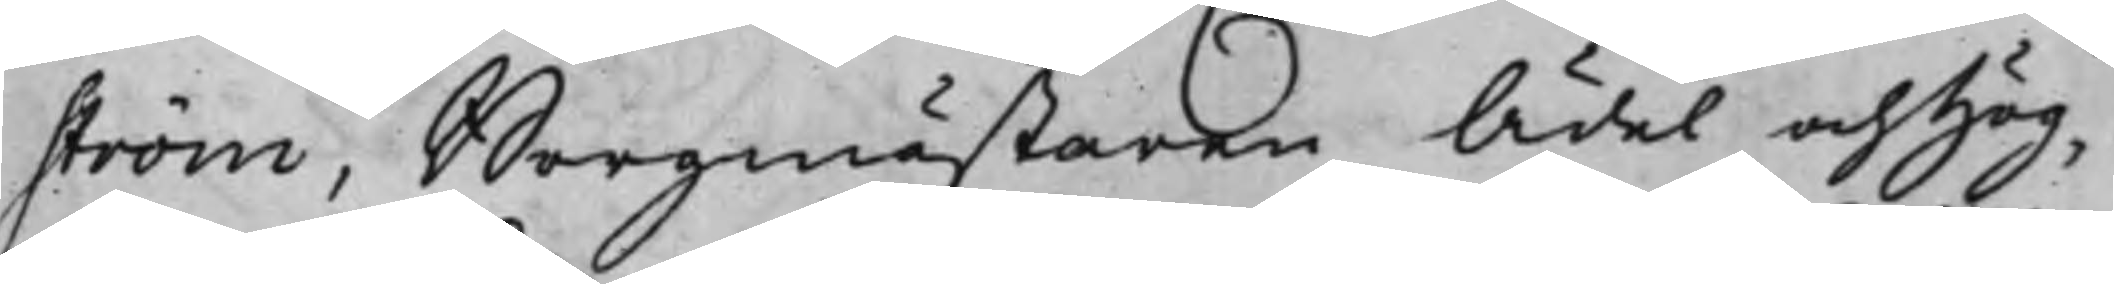ström, Borgmästaren Ädel och Hög¬
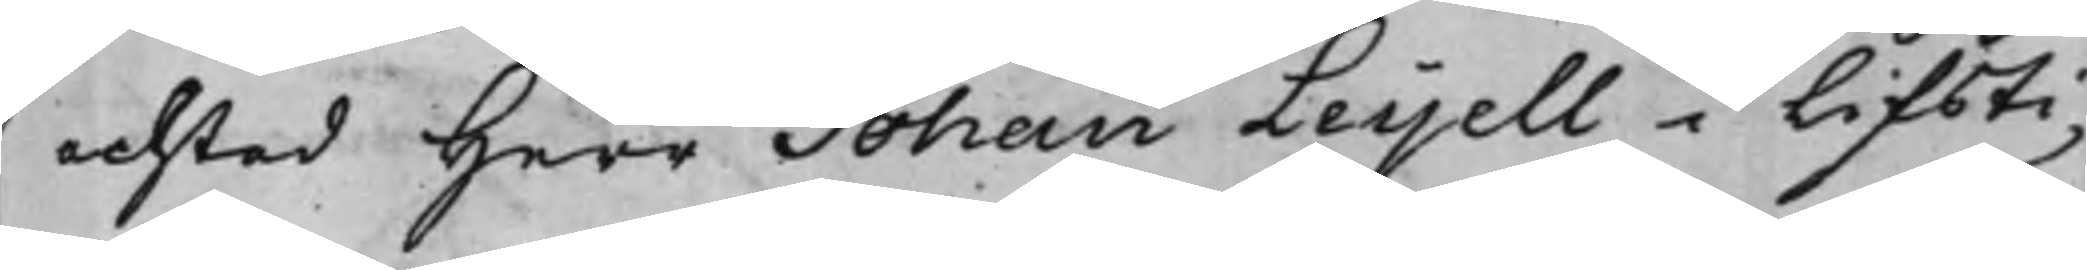achtad Herr Johan Leijell i Lifsti¬
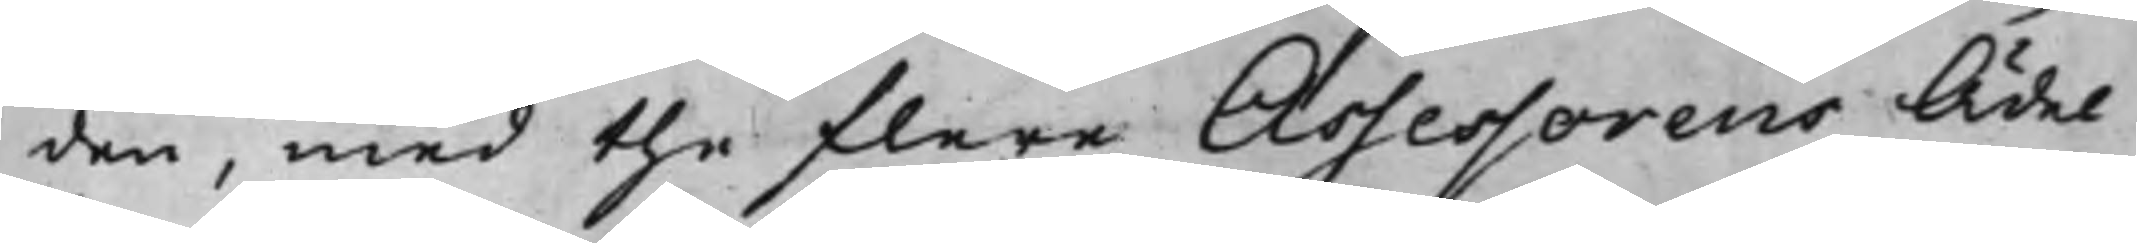den, med the flere Assessorens Ädel
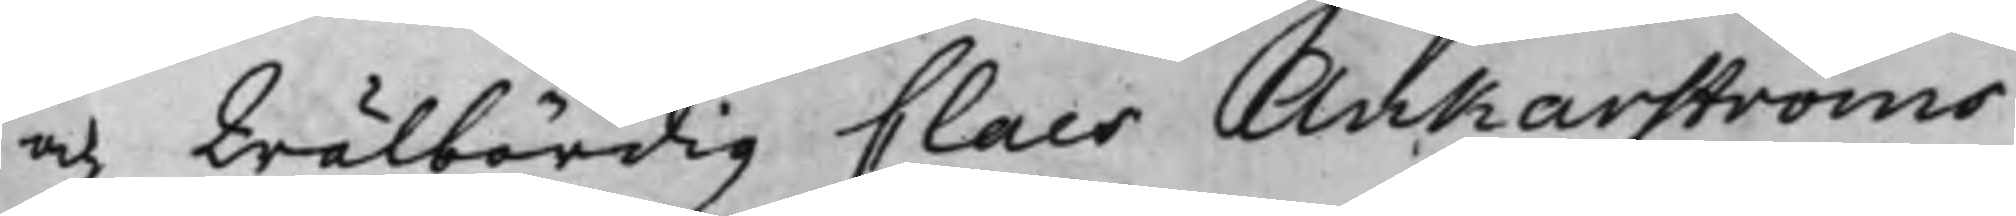och Wälbördig Claes Ankarströms
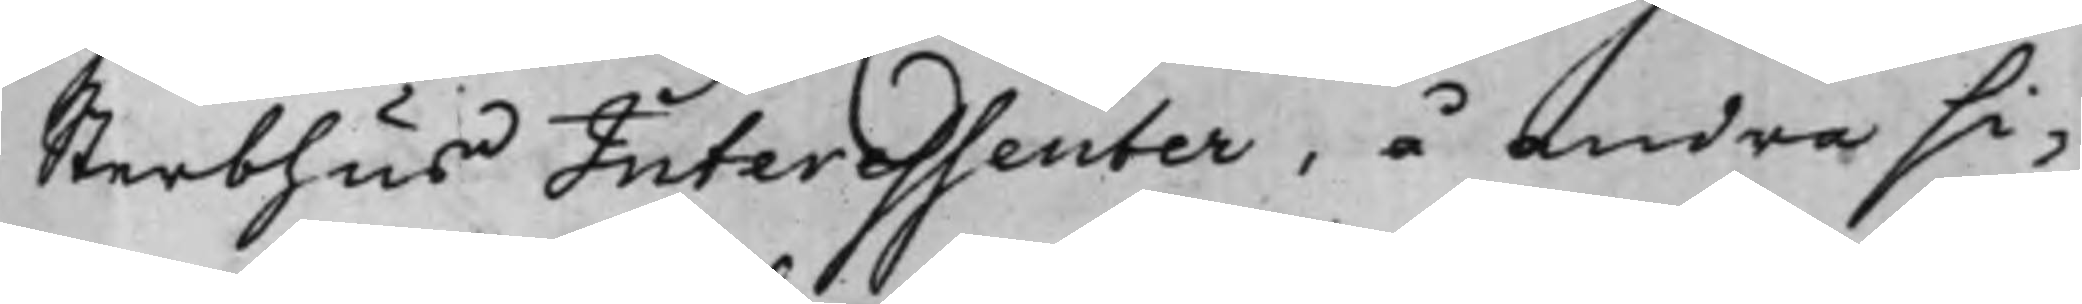Sterbhus Interessenter, å andra si¬
